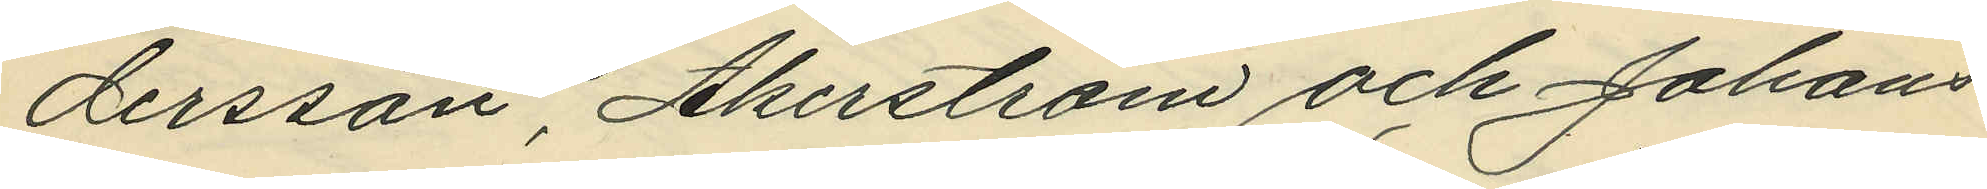dersson, Åkerstrom och Johans¬
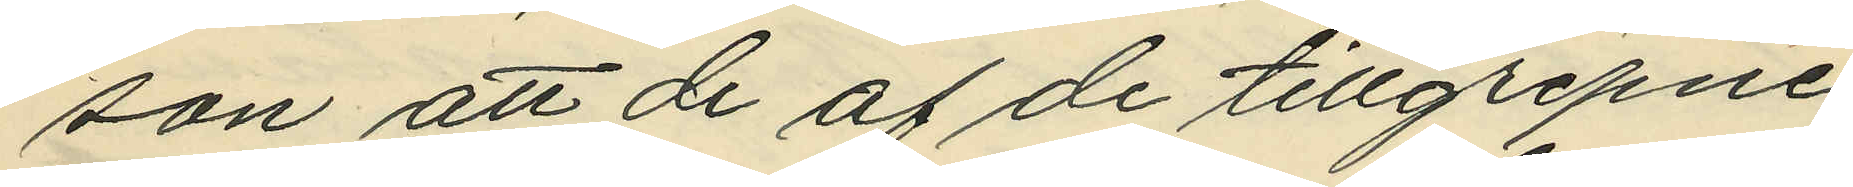son att de af de tillgripne
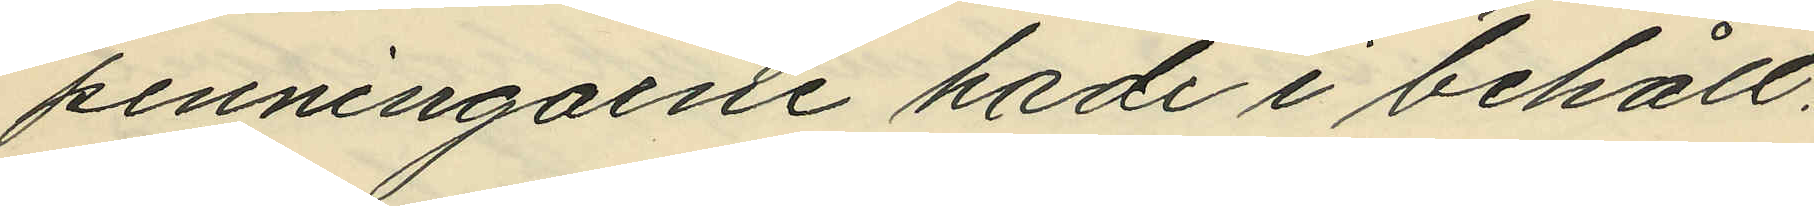penningarne hade i behåll:
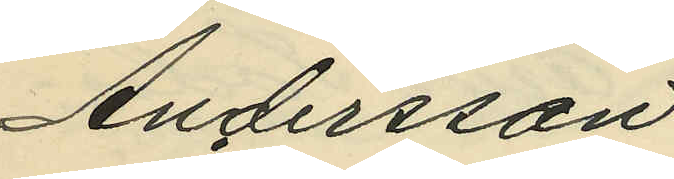Andersson
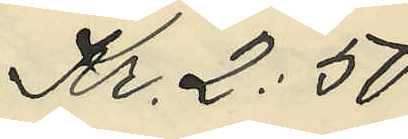Kr. 2:50
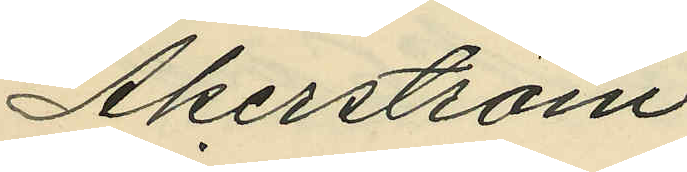Åkerström
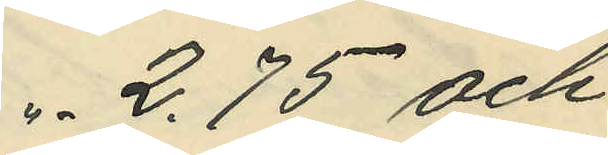"- 2.75 och
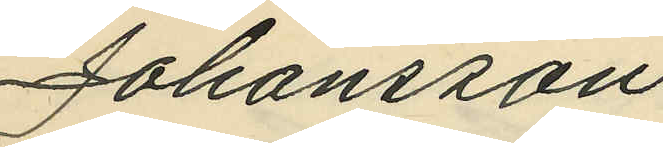Johansson
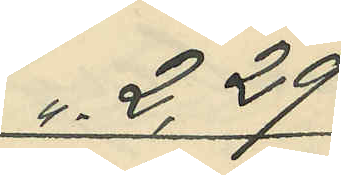"- 2,29
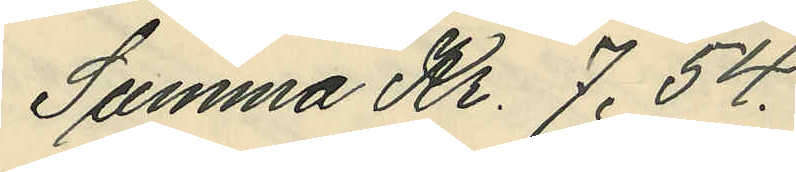Summa Kr. 7,54.
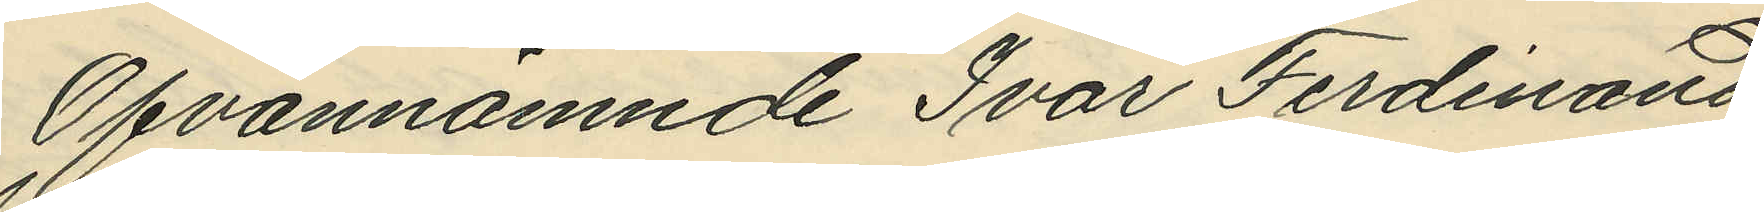Ofvannämnde Ivar Ferdinand
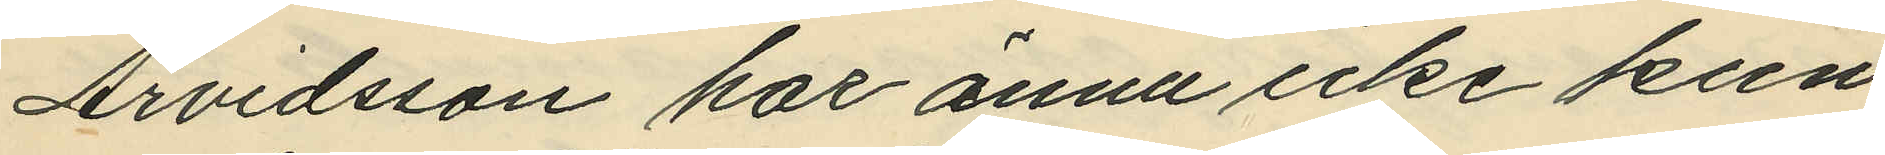Arvidsson har ännu icke kun¬
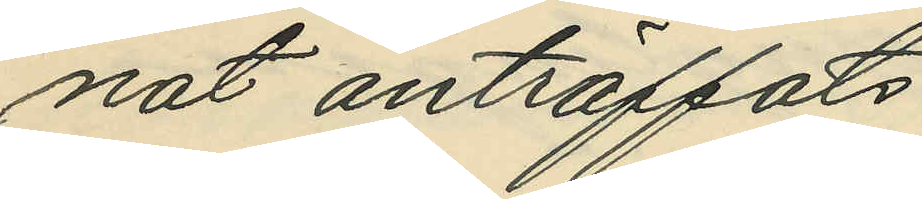nat anträffats.
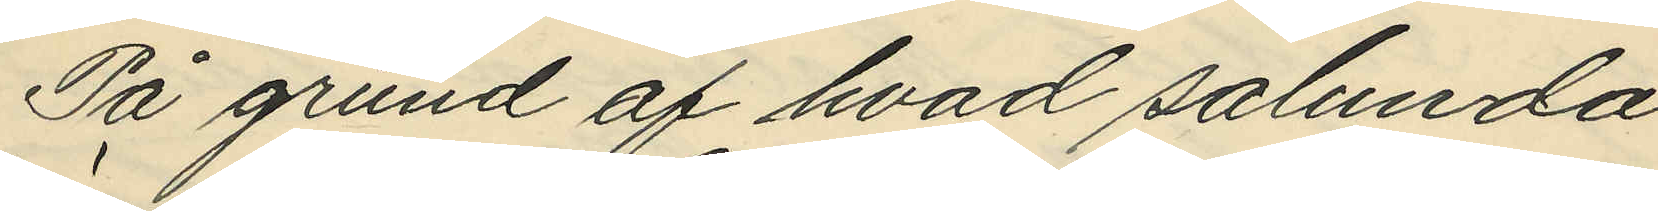På grund af hvad sålunda
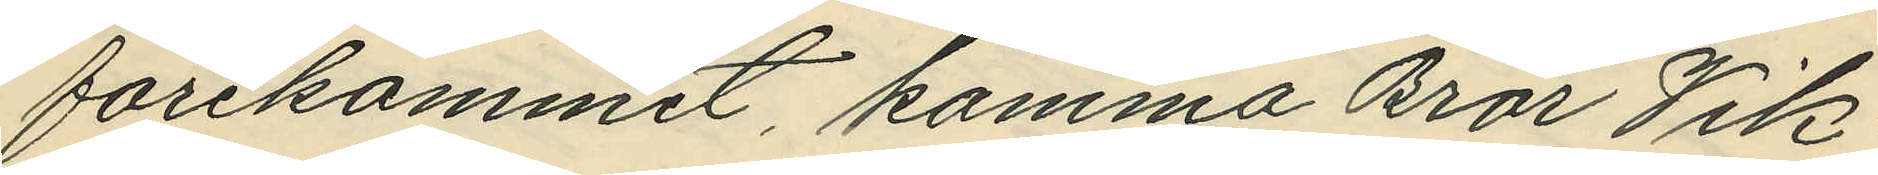förekommit, komma Bror Vik¬
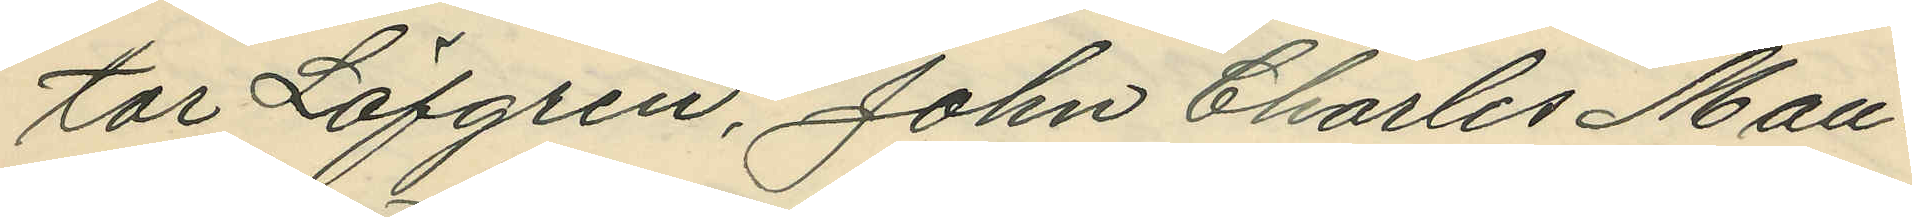tor Löfgren, John Charles Mau¬
